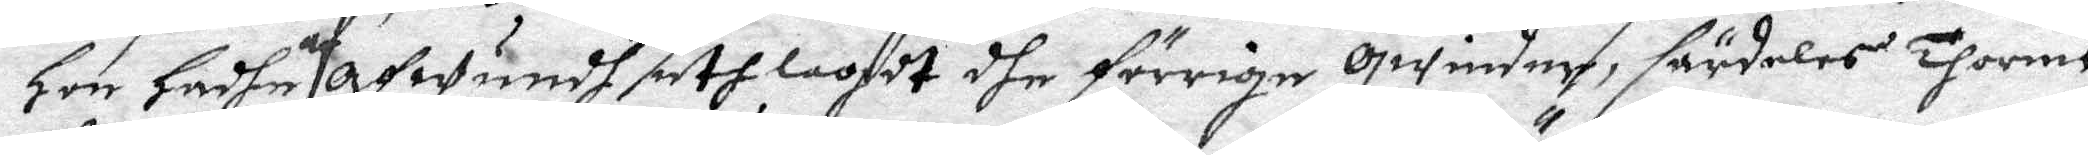hon hadhe af Afwundh uthlagdt dhe förrige Qwinder, särdeles Thormo
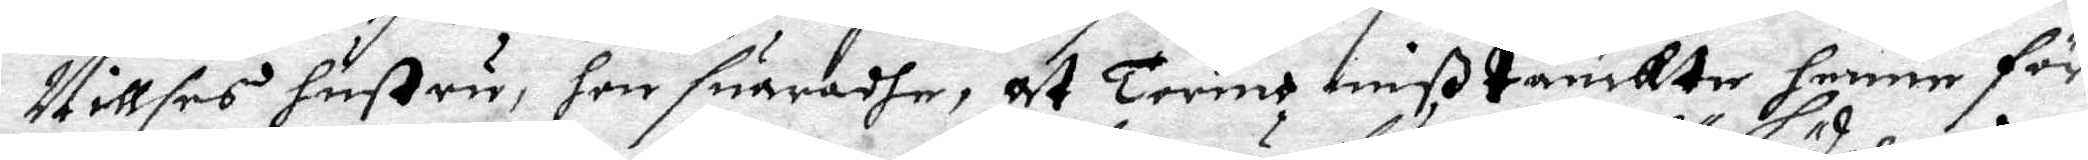Nillses hustru, hon suaradhe, att Tormo mißtänkte henne för
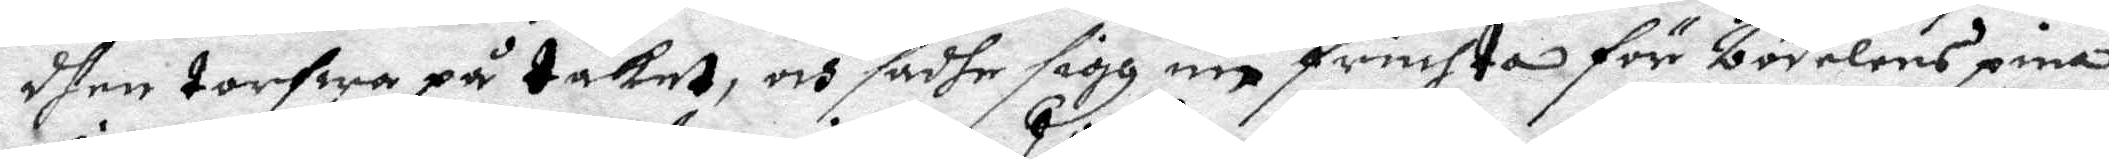dhen torfwa på taket, och sadhe sigh nu fruchta för bödelens pina,
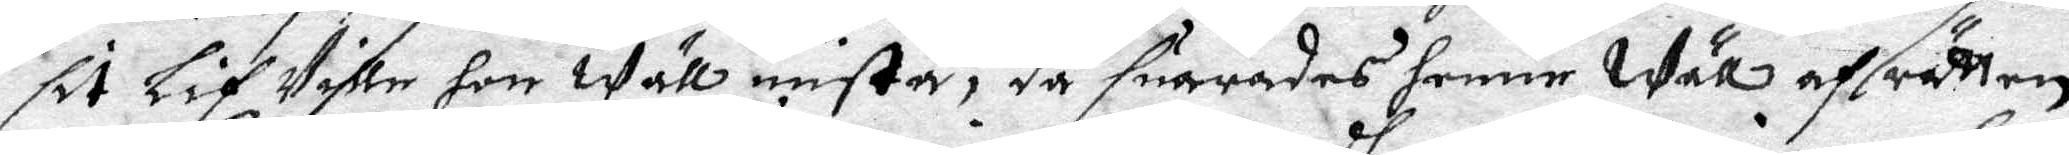sit Lif Ville hon wäll mista, då suaradhes henne wäll af rätten
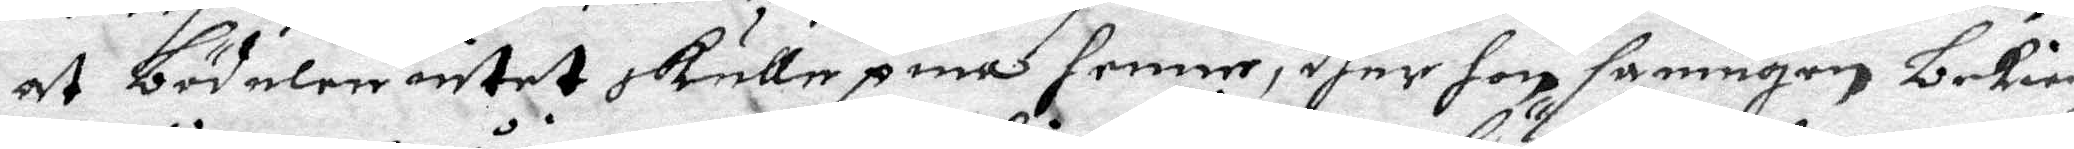at bödelen intet skulle pina hennem dher hon sanningen bekien¬
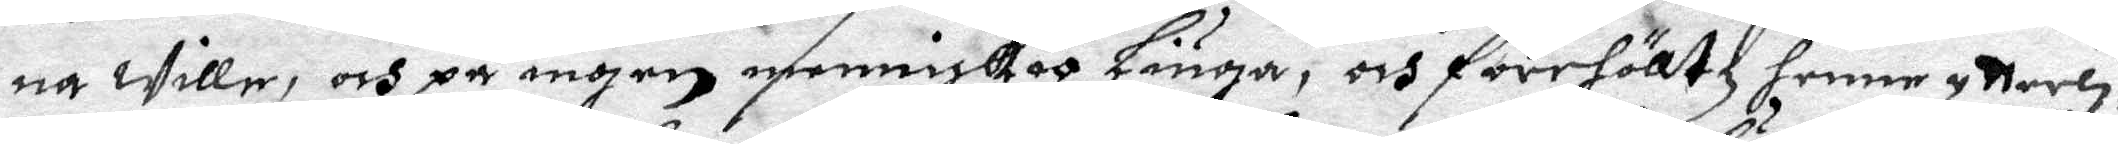na wille, och på ingen menniskia Liuga, och förehölltz henne ytterli¬
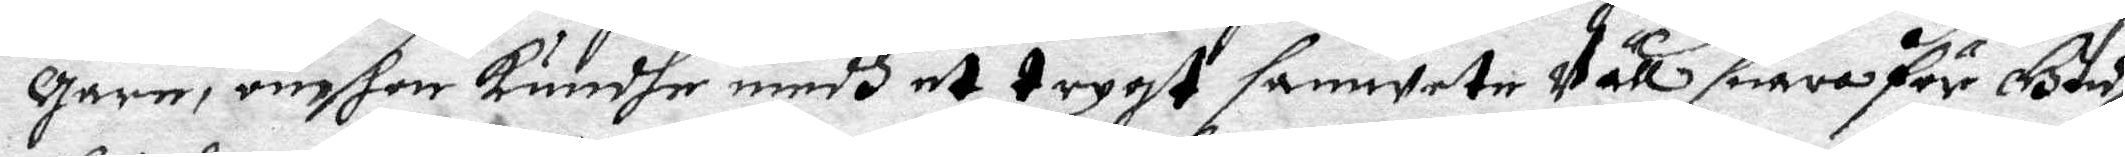gare, om hon kundhe medh et trygt samwete wäll suara för Gudh,
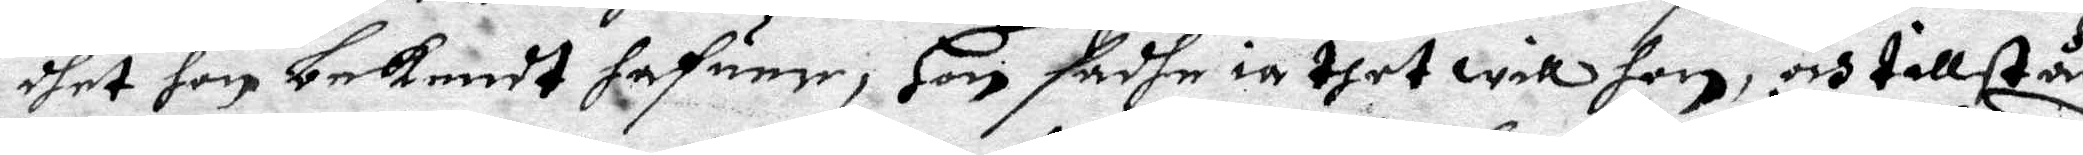dhet hon bekendt hafuer, Hon sadhe ia thet will hon, och tillstår
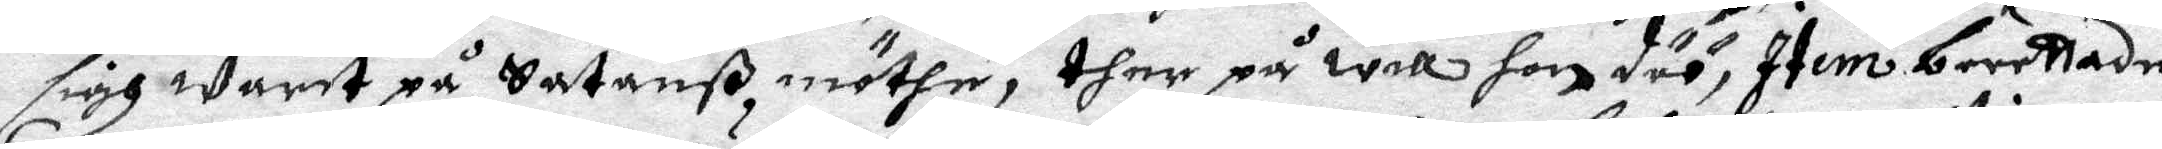sigh warit på Satanß möthe, ther på will hon döö, Item berettade
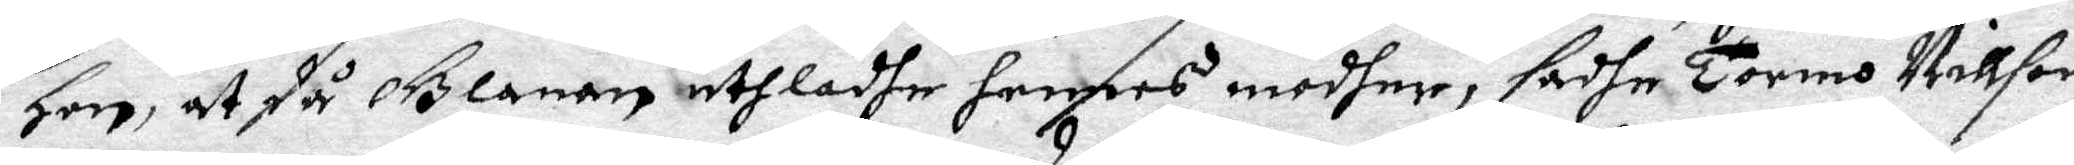hon, at då Glanan uthladhe hennes modher, sadhe Tormo Nillson
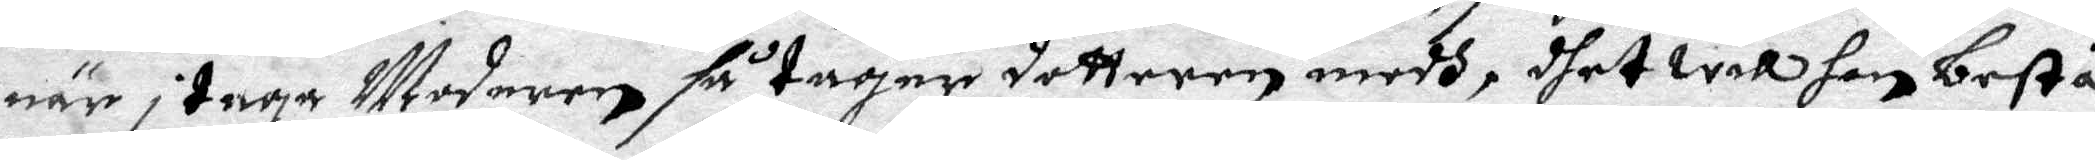när i taga Moderen så tager dottern medh, dhet will hon bestå
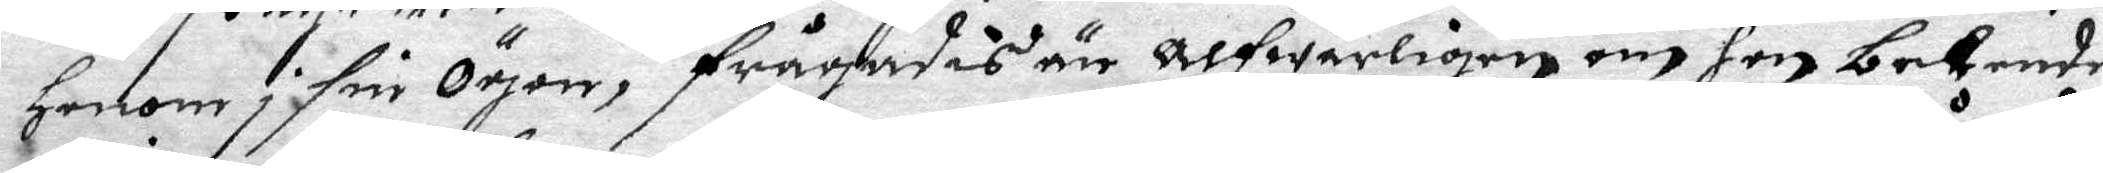honom i sine Ögon, frågades än alfwarligen om hon bekende
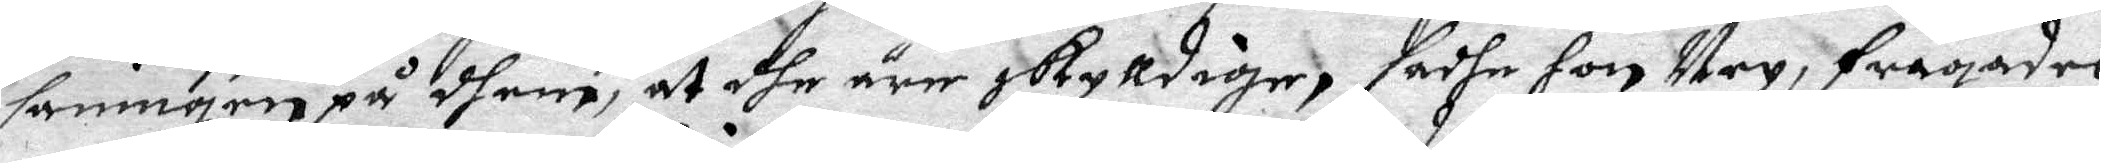sanningen på dhem, at dhe äre oskylldige, sadhe hon Ney, frågades
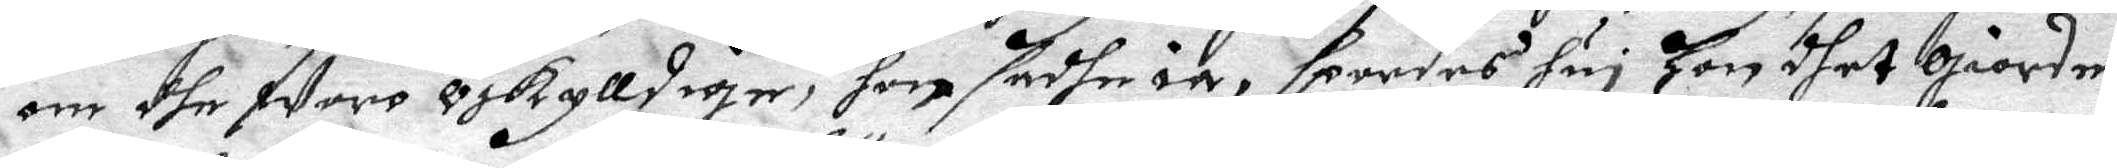om dhe woro oskylldige, hon sadhe ia, spordes huj hon dhet Giorde,
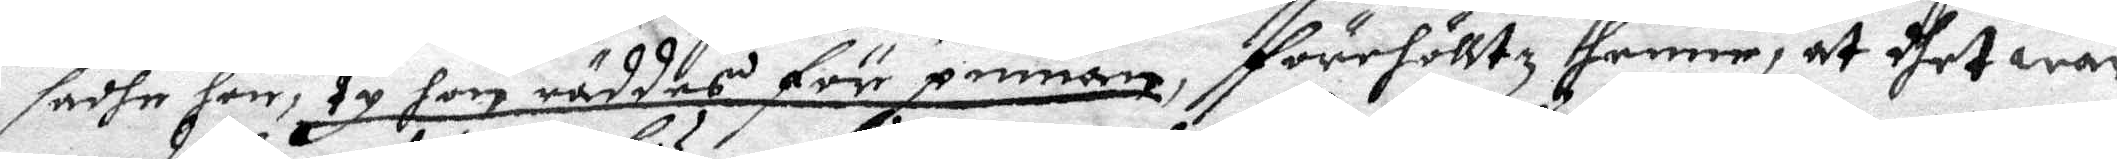sadhe hon, ty hon räddes för pinan, förehölltz henne, at thet war
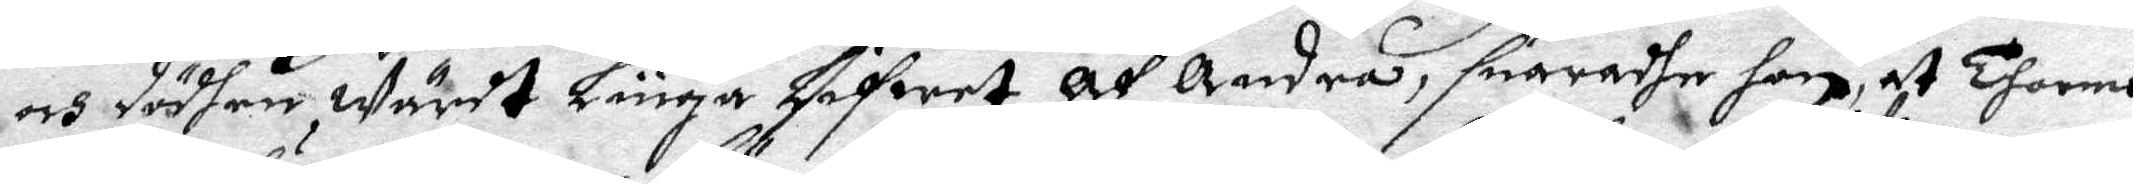och dödhen Wärdt Liuga Lifwet Af Andra, suaradhe hon at Thormo
